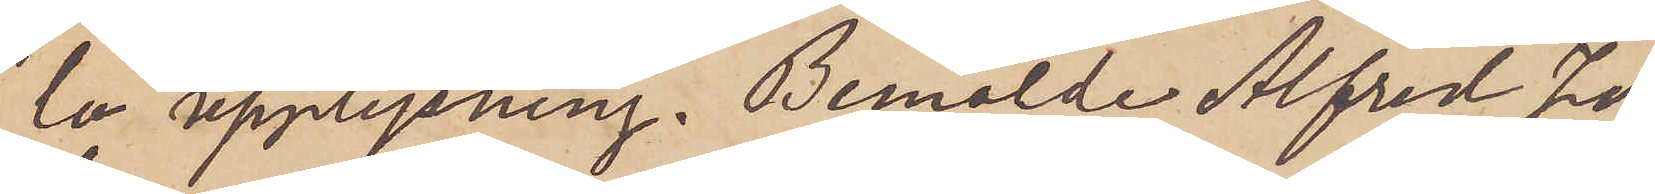la upplysning. Bemälde Alfred Jo¬
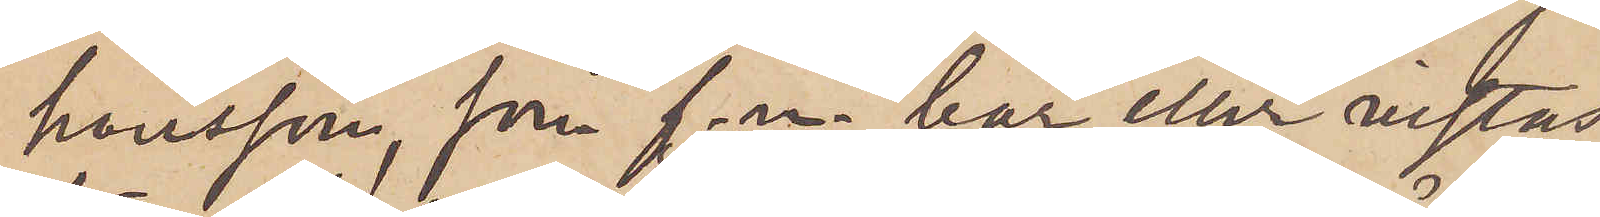hansson, som f.n. har eller vistas
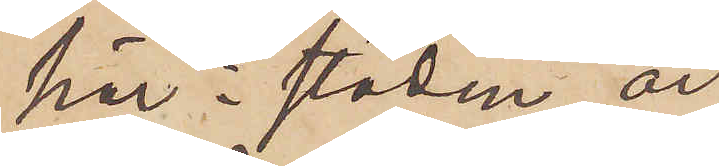här i staden, är
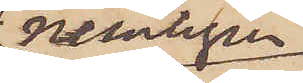nemligen
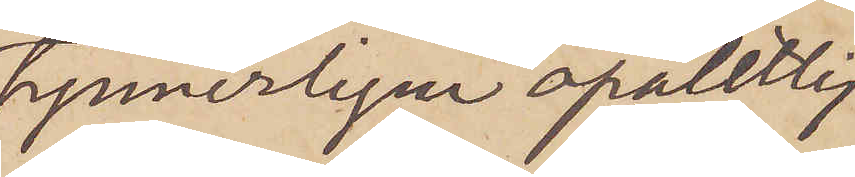synnerligen opålitlig
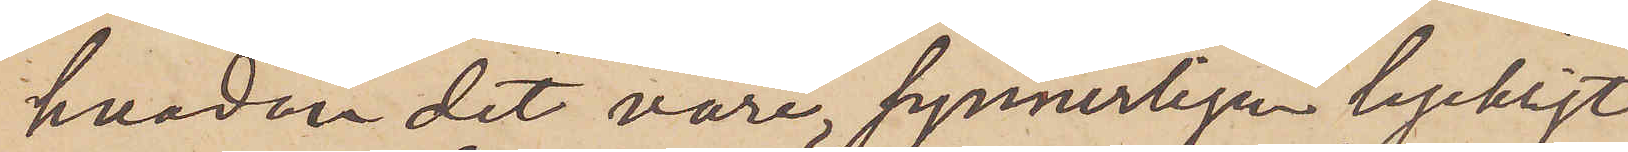hvadan det vore synnerligen lyckligt
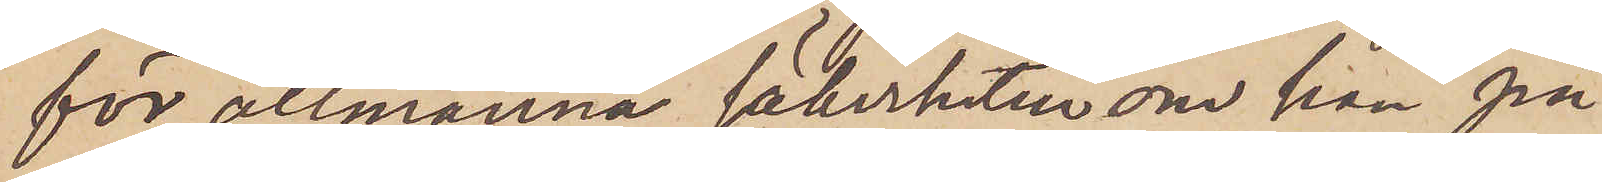för allmänna säkerheten om han på
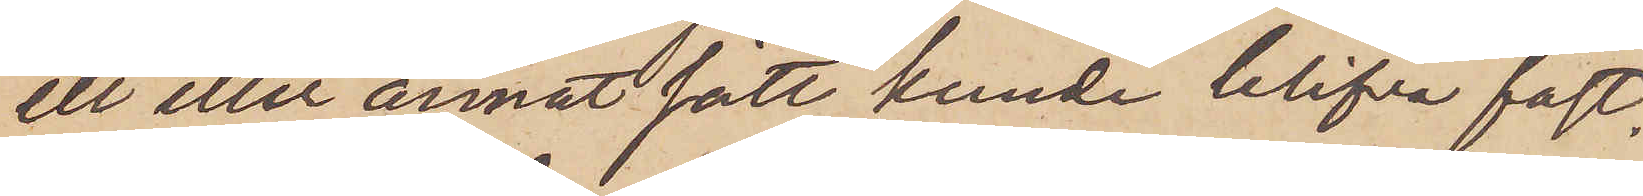ett eller annat sätt kunde blifva fast.
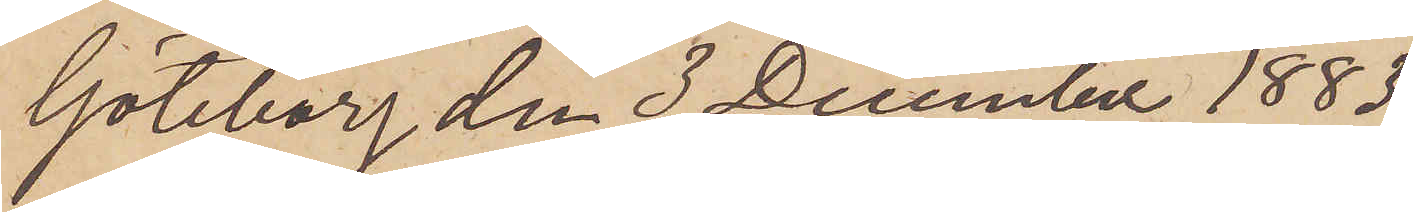Göteborg den 3 December 1883.
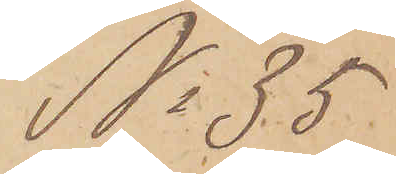No 35
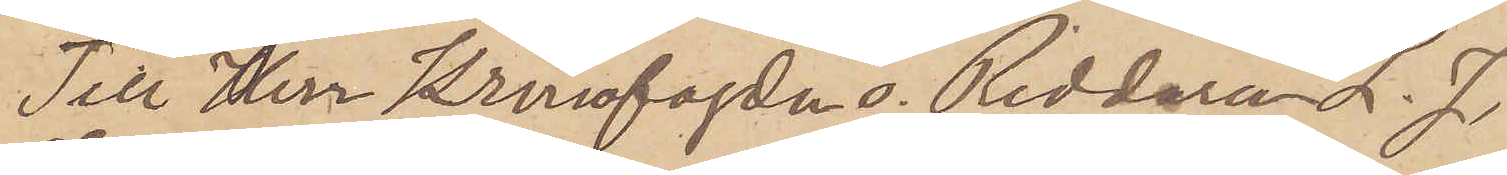Till Herr Kronofogden o. Riddaren L. J.
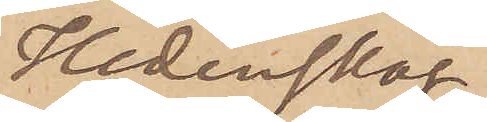Hedenskog.
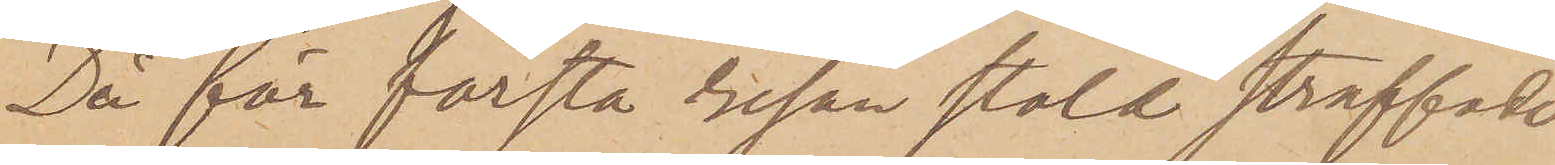Då för första resan stöld straffade
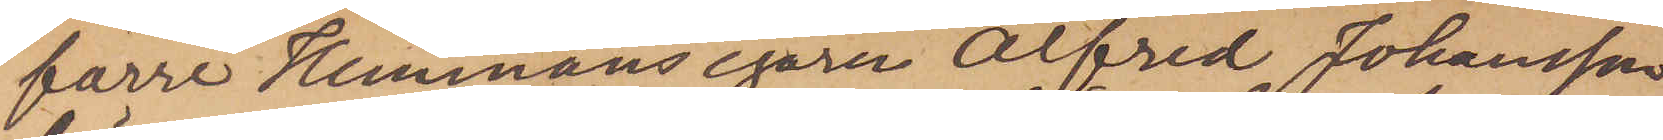förre Hemmansegaren Alfred Johansson
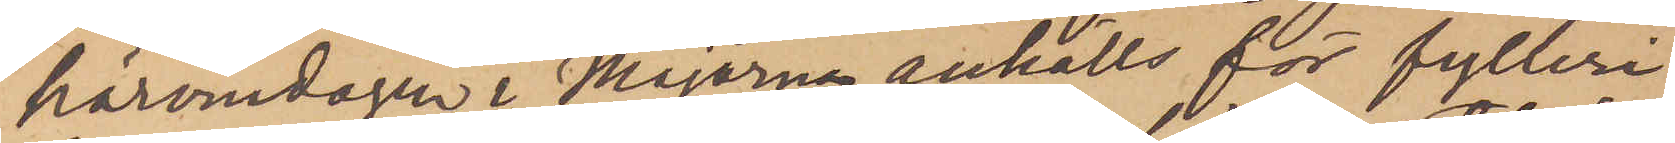häromdagen i Majorna anhölls för fylleri,
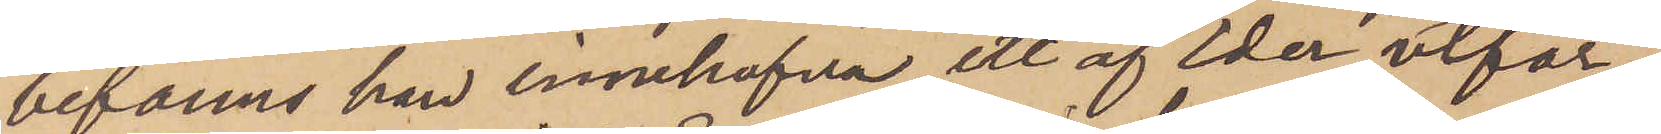befanns han innehafva ett af Eder utfär¬
